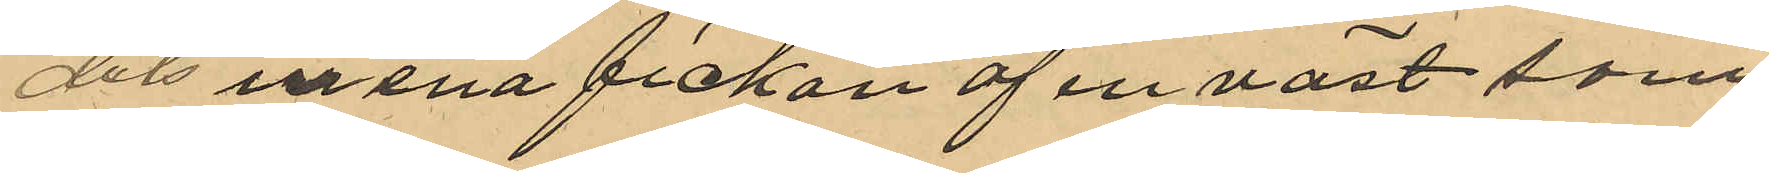dels ur ena fickan af en väst som
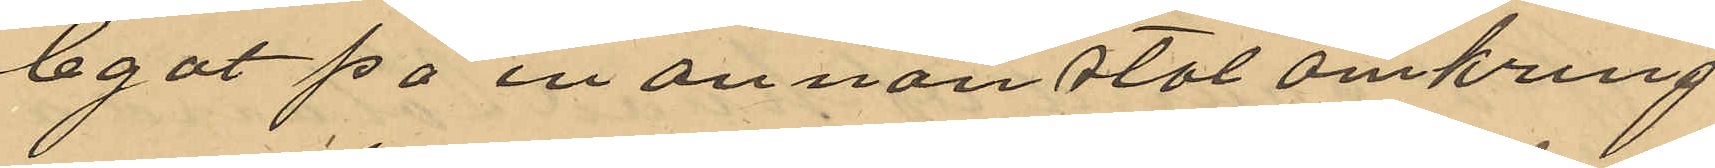legat på en annan stol omkring
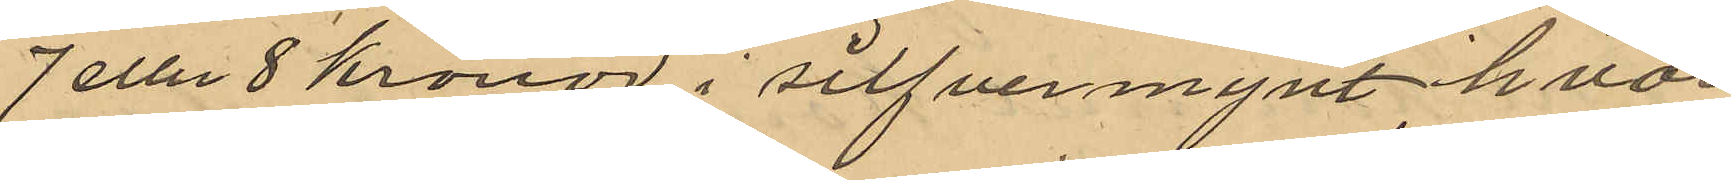7 eller 8 kronor i silfvermynt hvar
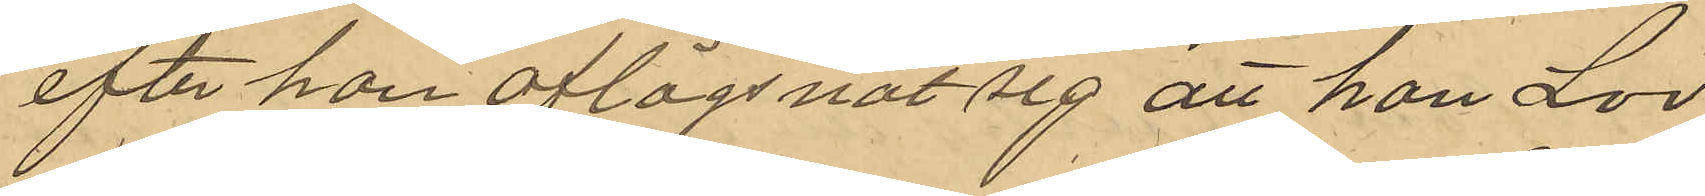efter han aflägsnat sig att han Lör¬
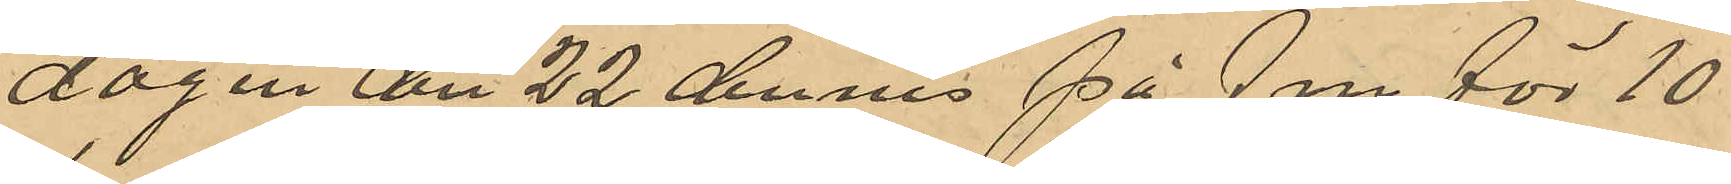dagen den 22 dennes på fm för 10
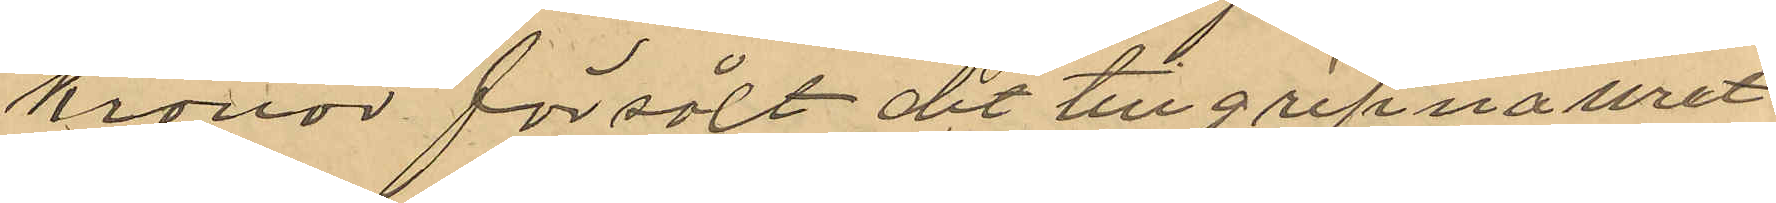kronor försålt det tillgripna uret
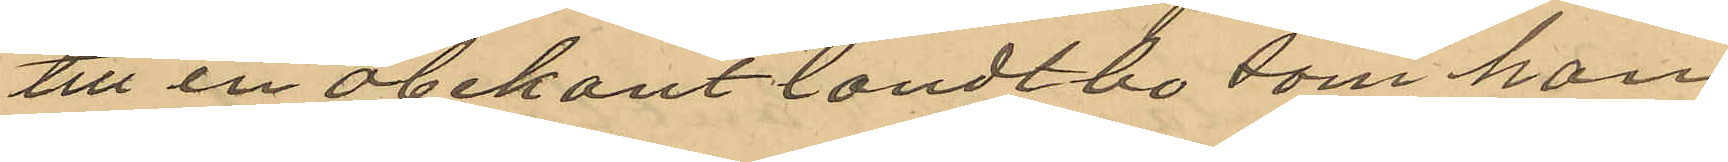till en obekant landtbo som hon
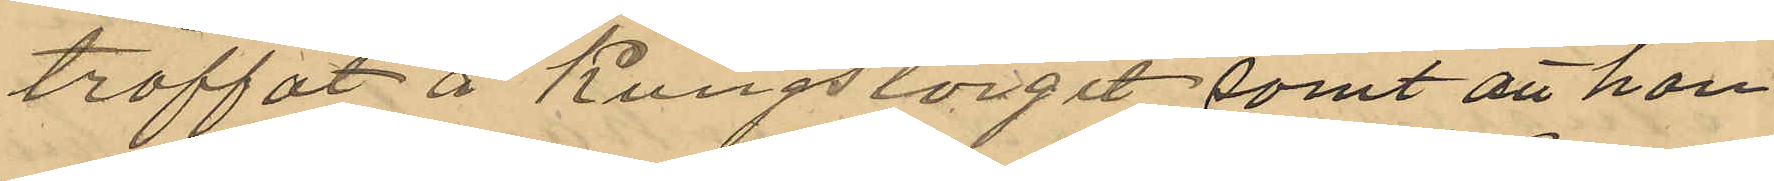träffat å Kungstorget samt att han
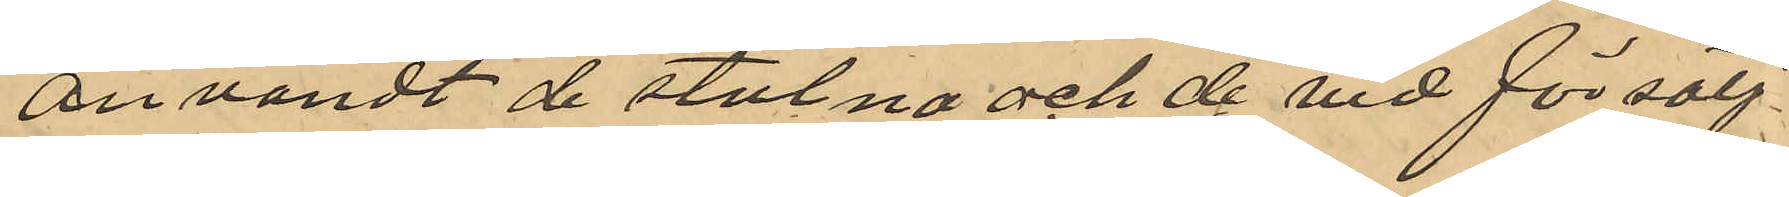användt de stulna och de vid försälj¬
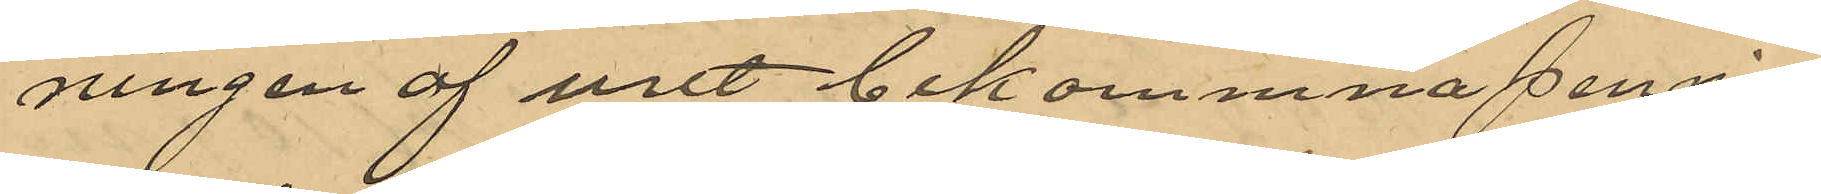ningen af uret bekommna pennin¬
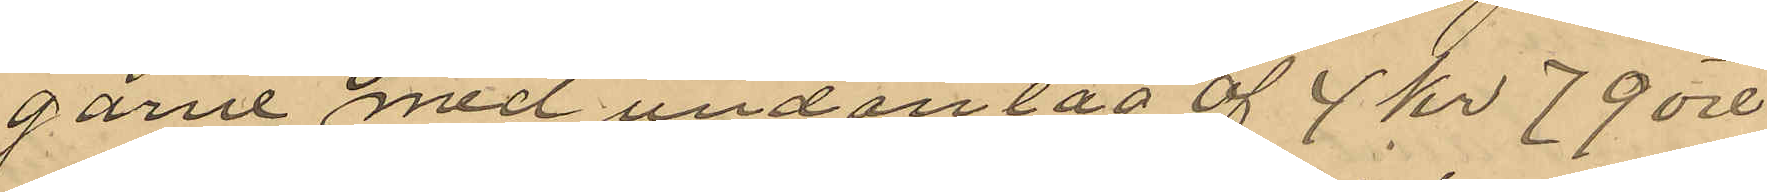garne med undantag af 4 kr 79 öre
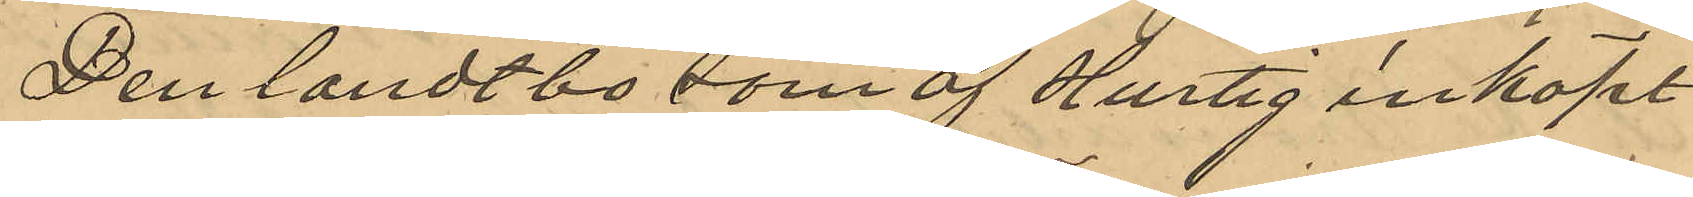Den landtbo som af Hurtig inköpt
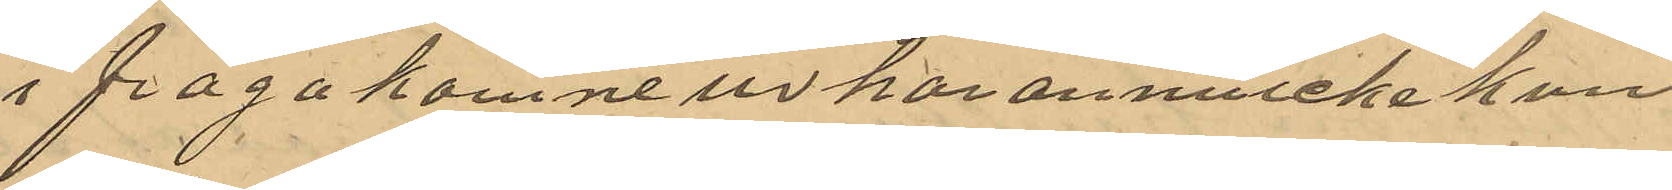i fråga komne ur har ännu icke kun¬
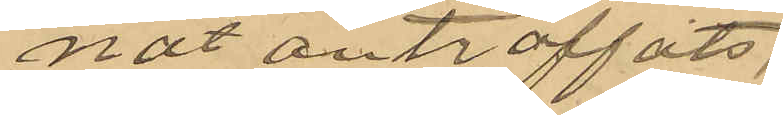nat anträffats;
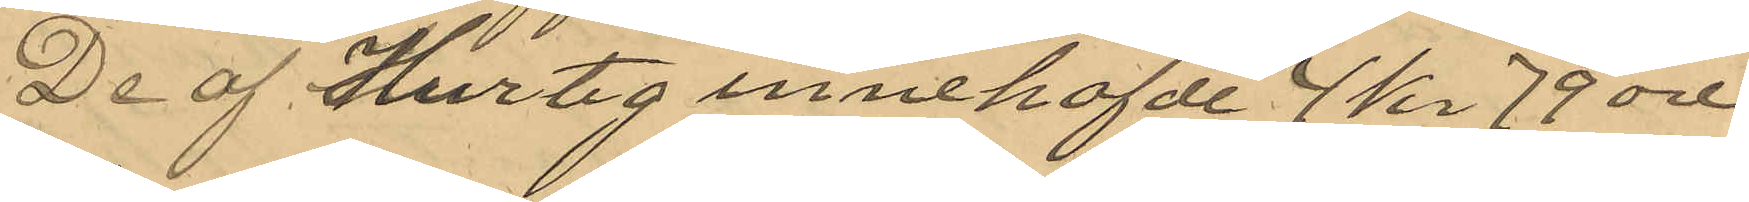De af Hurtig innehafde 4 kr 79 öre
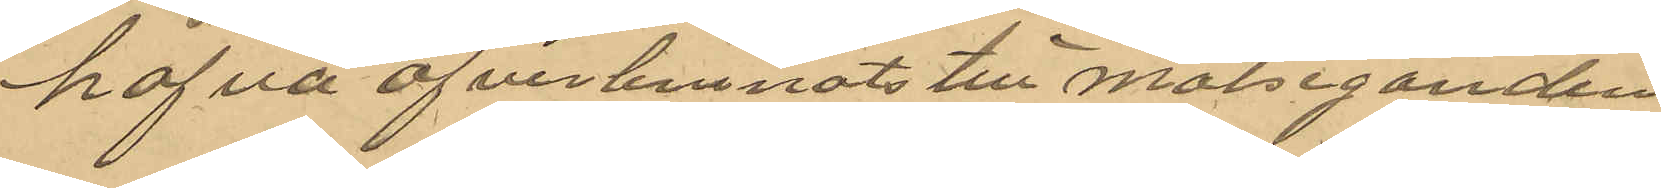hafva öfverlemnats till målseganden.
